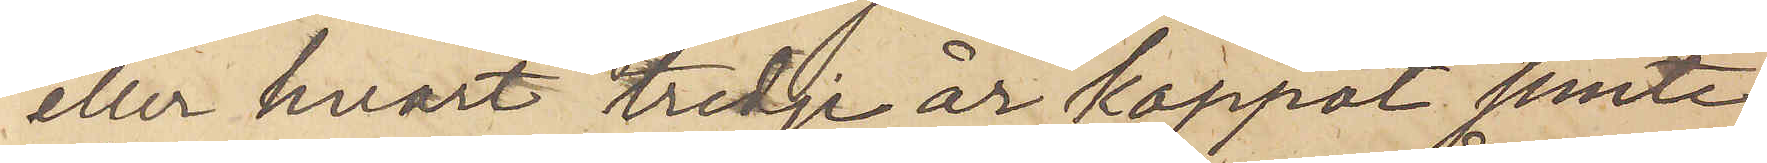eller hvart tredje år kappot jemte
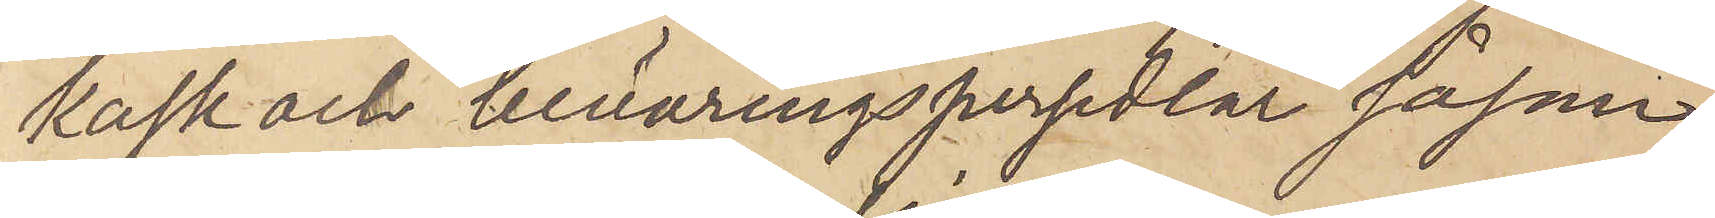kask och beväringspersedlar såsom
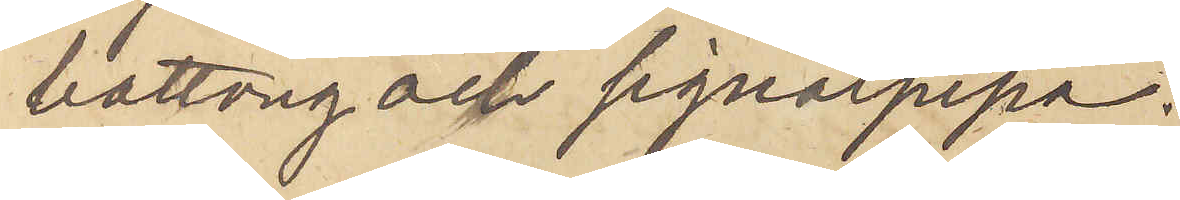battong och signalpipa.
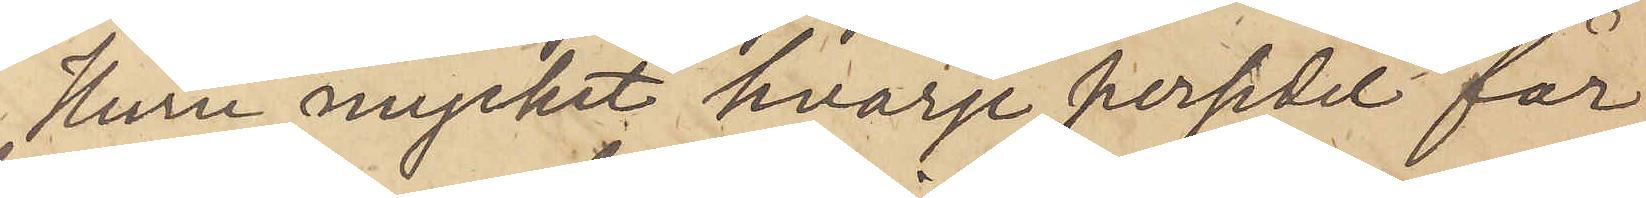Huru mycket hvarje persedel får
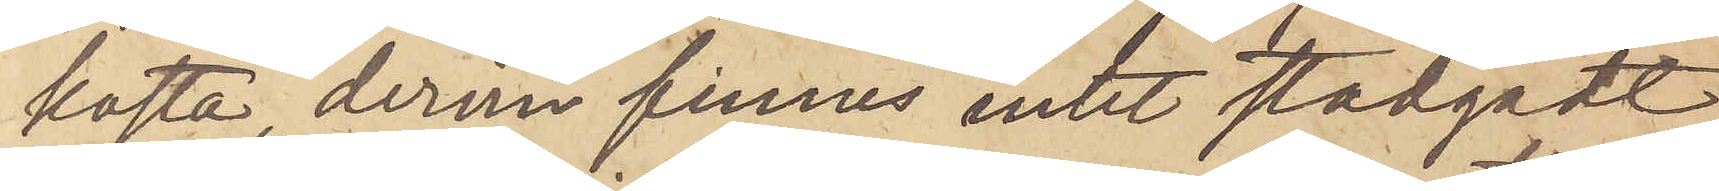kosta, derom finnes intet stadgadt,
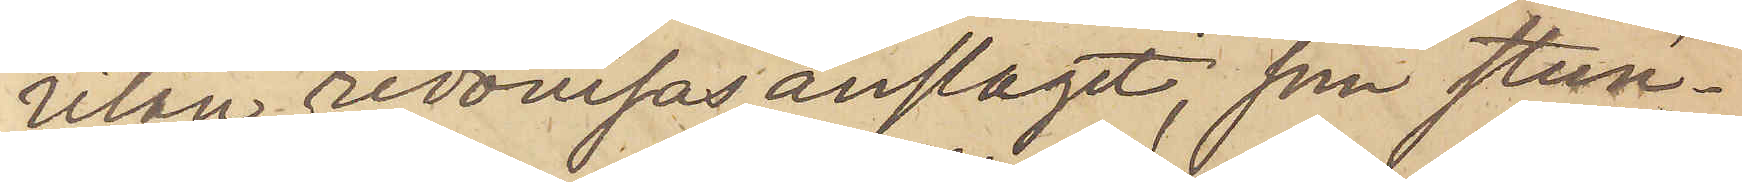utan redovisas anslaget, som stun¬
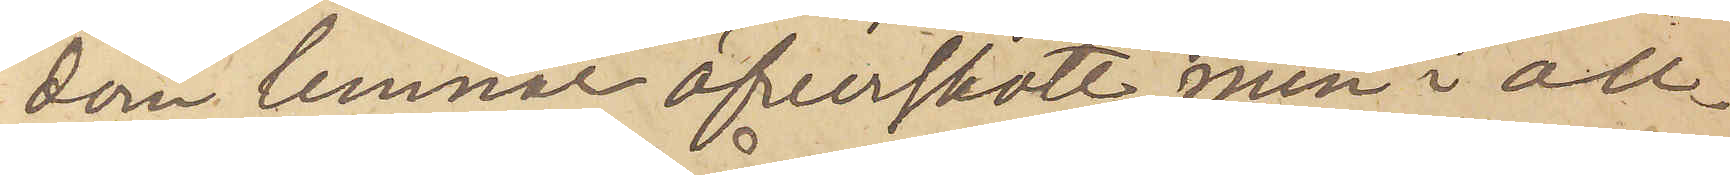dom lemnat öfverskott, men i all¬
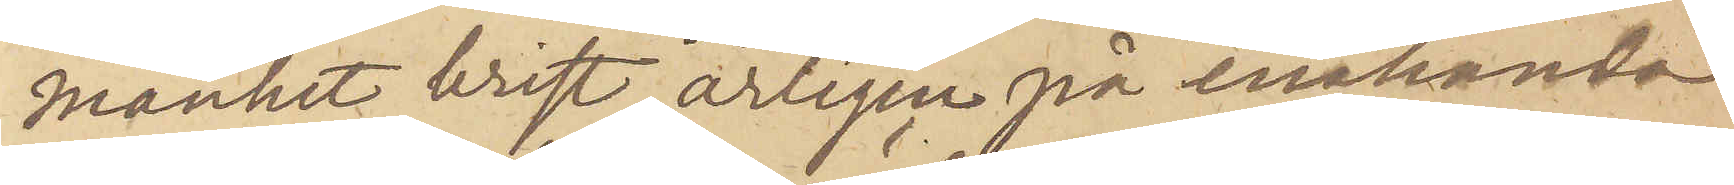mänhet brist, årligen på enahanda
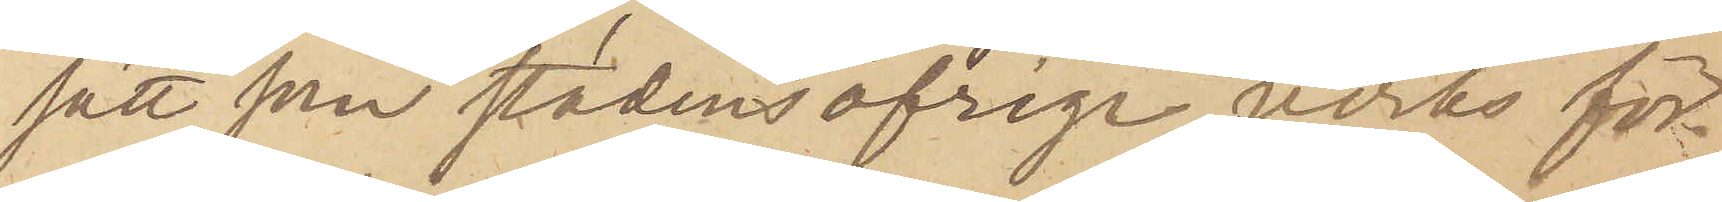sätt som stadens öfrige verks för¬
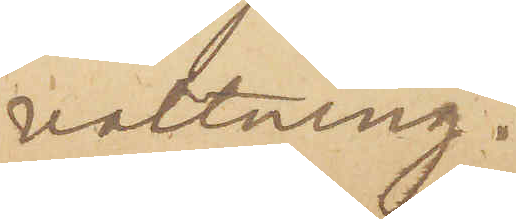valtning.
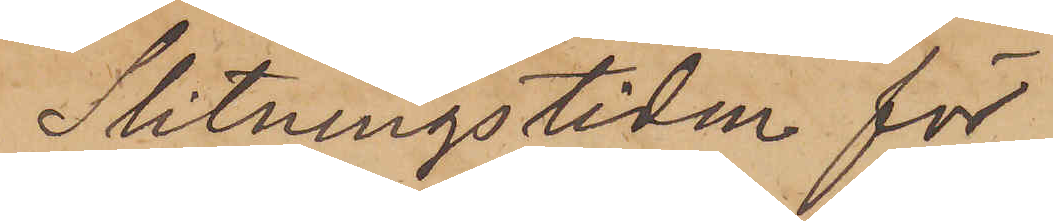Slitningstiden för
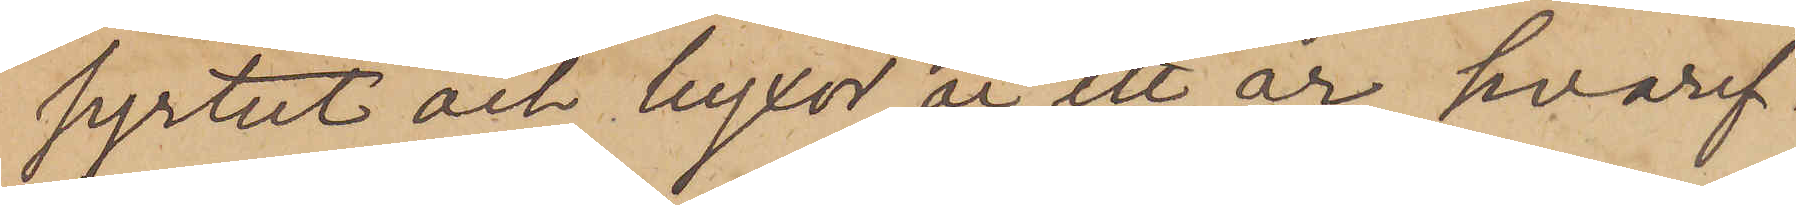syrtut och byxor är ett år, hvaref¬
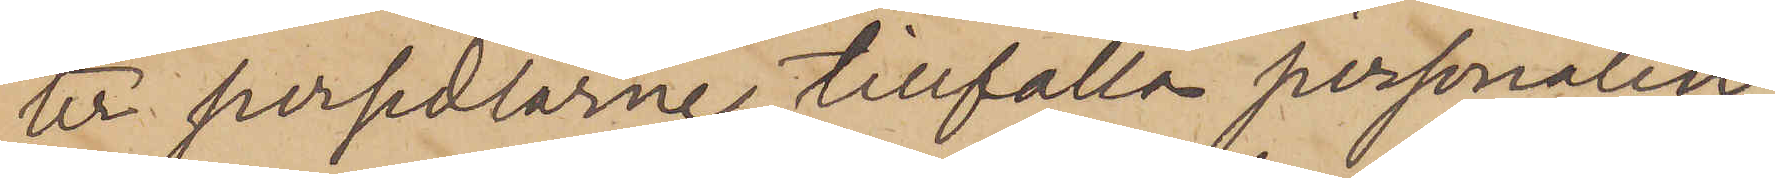ur persedlarne tillfalla personalen,
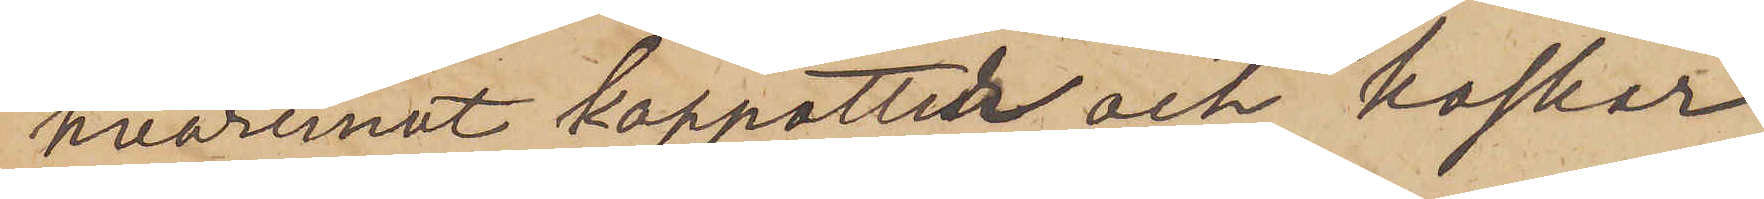hvaremot kappotter och kaskar
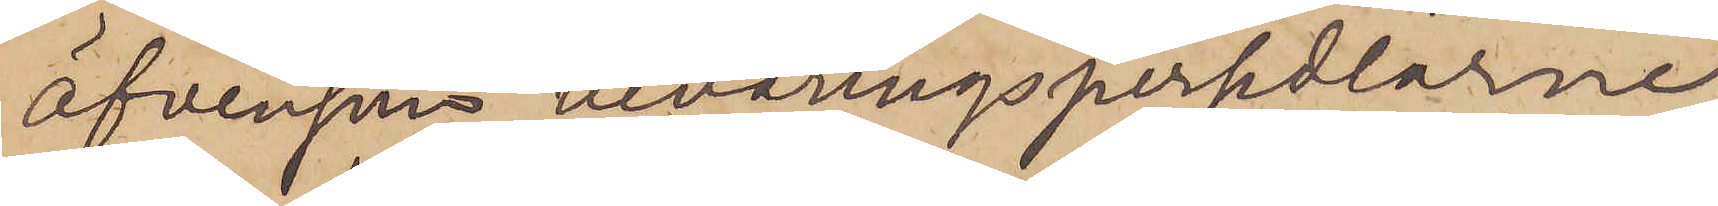äfvensom bevaringspersedlarne
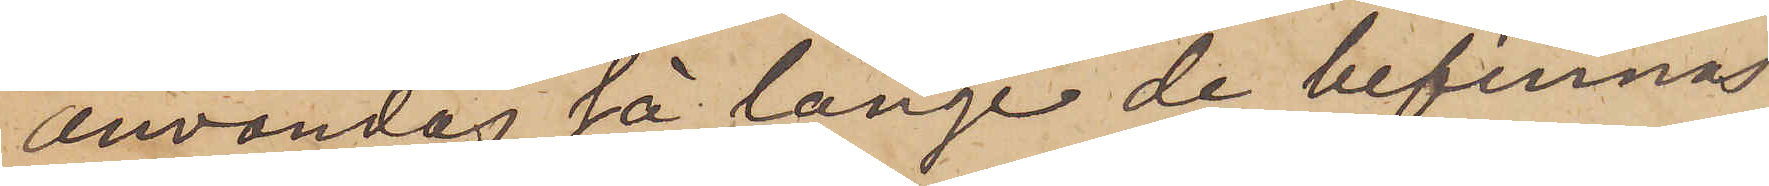användas så länge de befinnas
